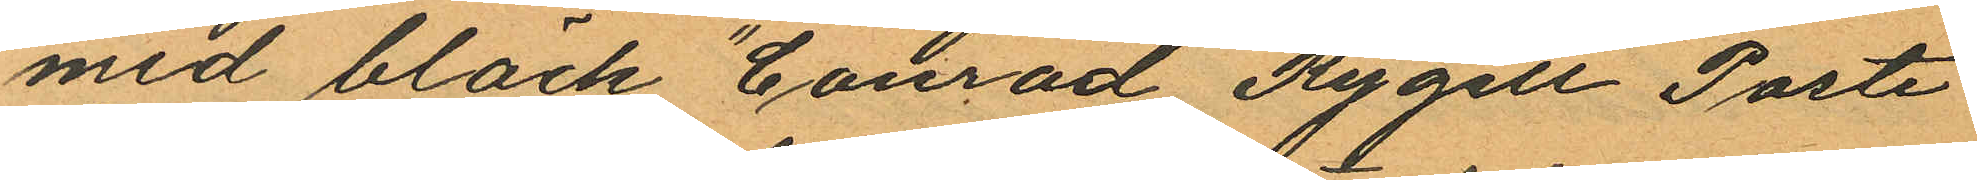med bläck "Conrad Rygell Poste
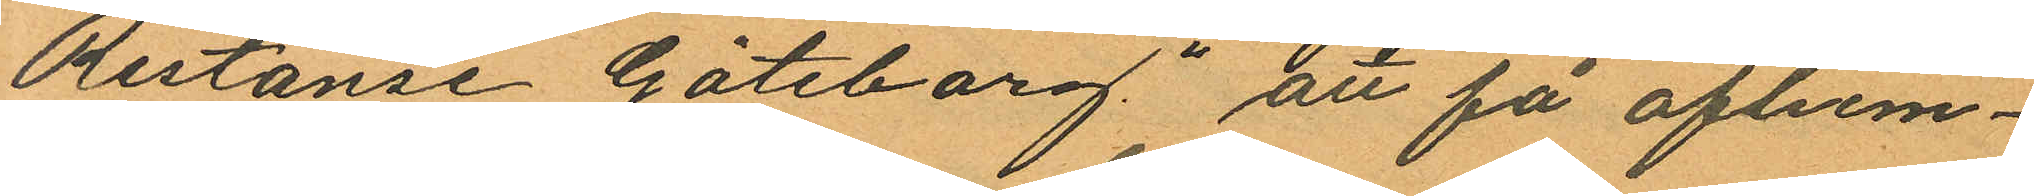Restanse Göteborg" att få afhem¬
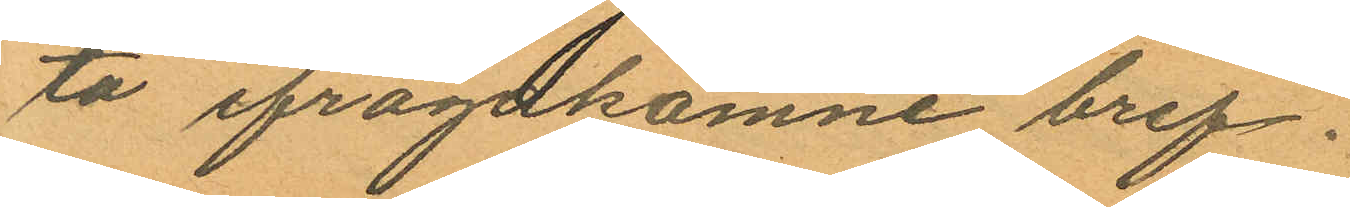ta ifragakomne bref.
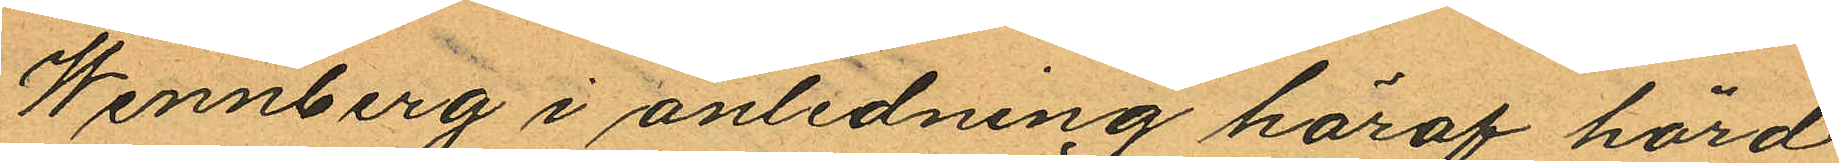Wennberg i anledning häraf hörd
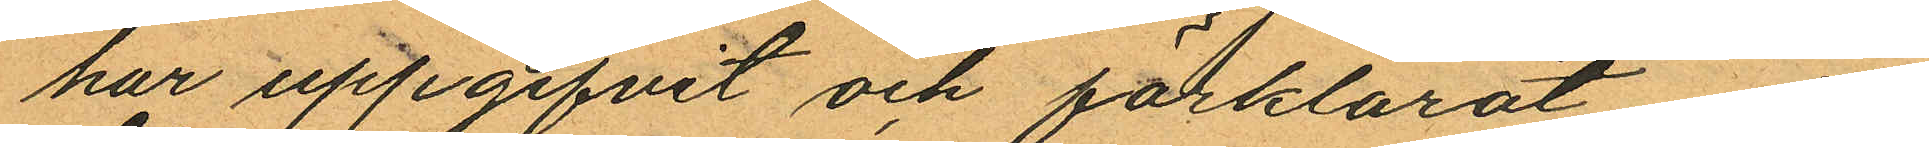har uppgifvit och förklarat, att
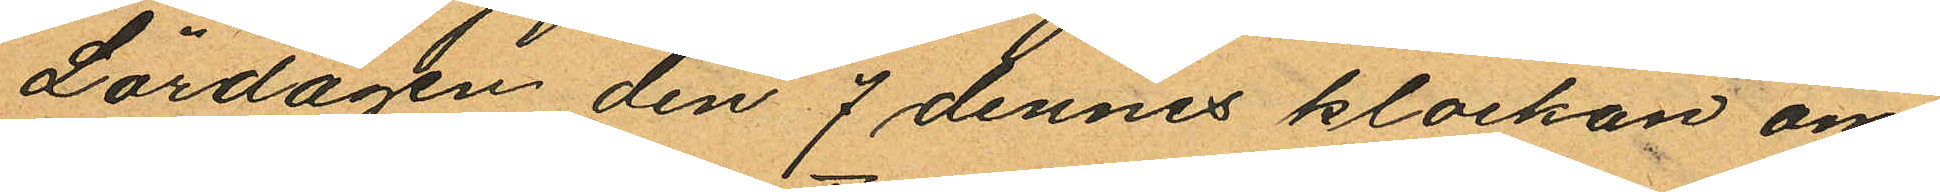Lördagen den 7 dennes klockan om
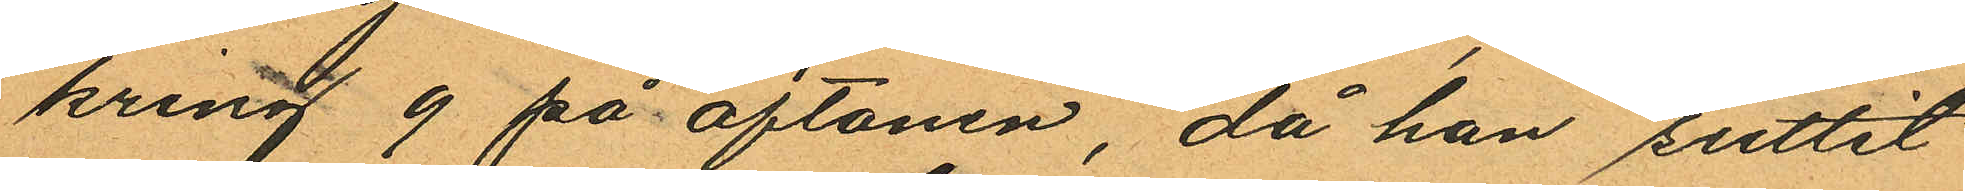kring 9 på aftonen, då han suttit
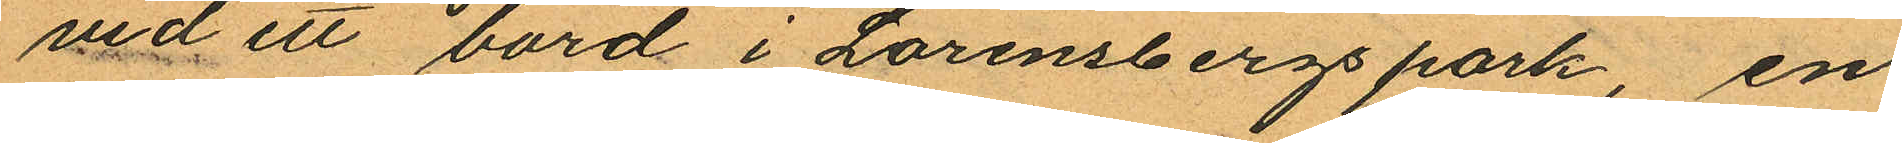vid ett bord i Lorensbergs park, en
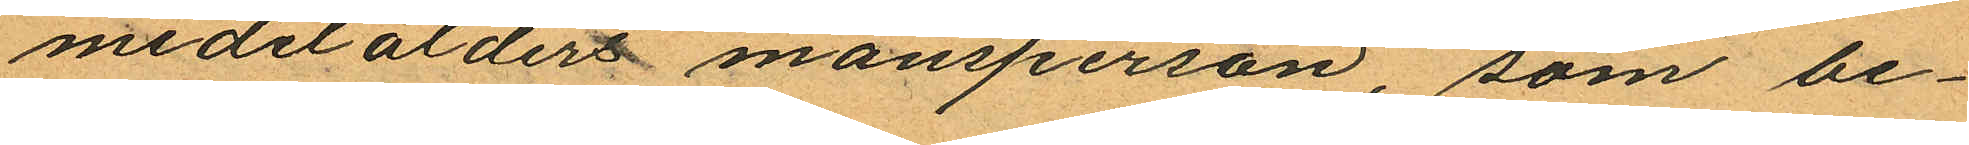medelsålders mansperson, som be¬
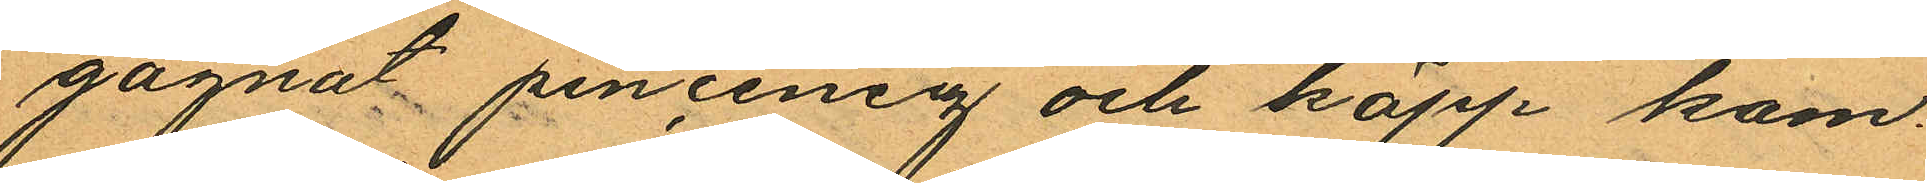gagnat pincenez och käpp kom
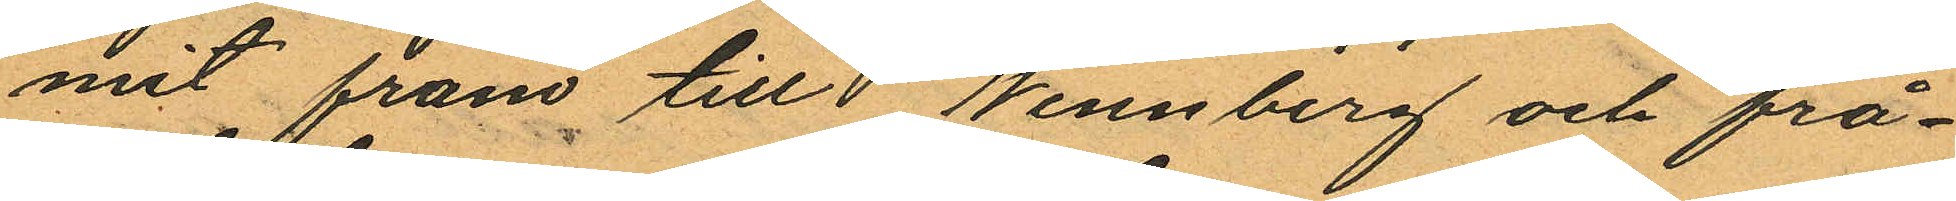mit fram till Wennberg och frå¬
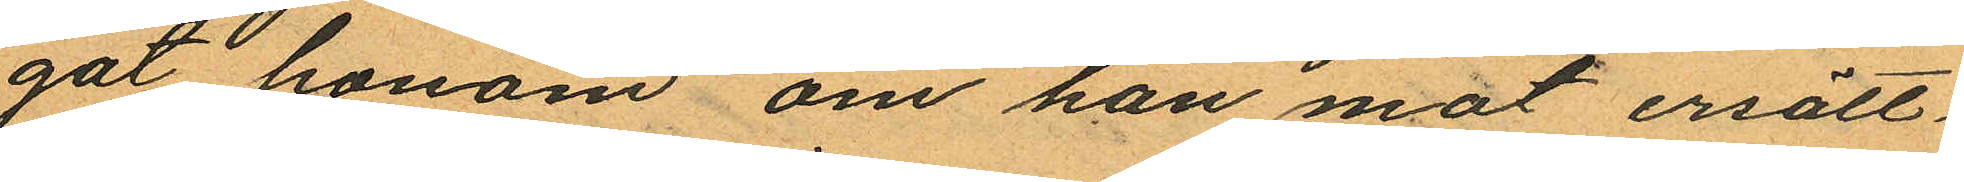gat honom om han mot ersätt
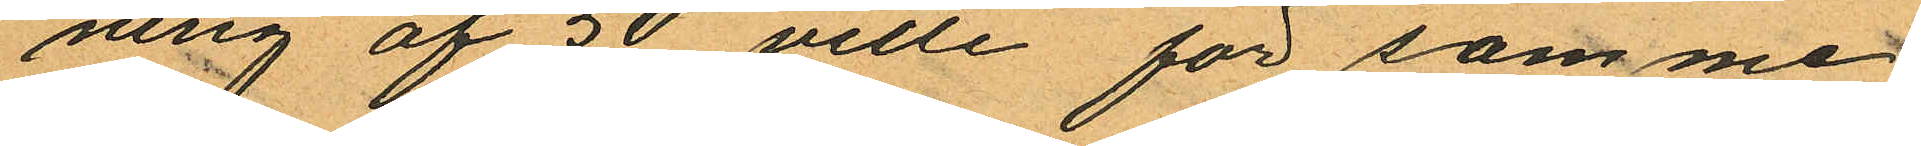ning af 50 ville för samme
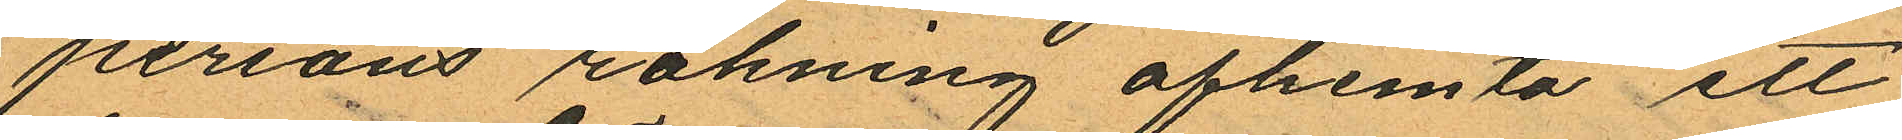persons räkning afhemta ett
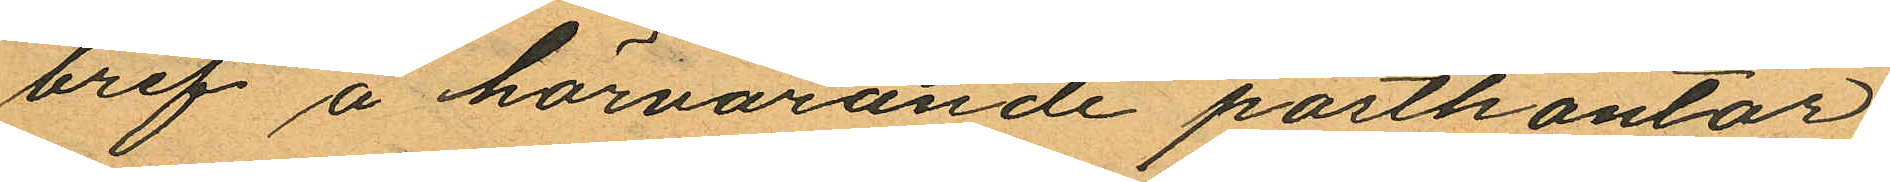bref å härvarande postkontor
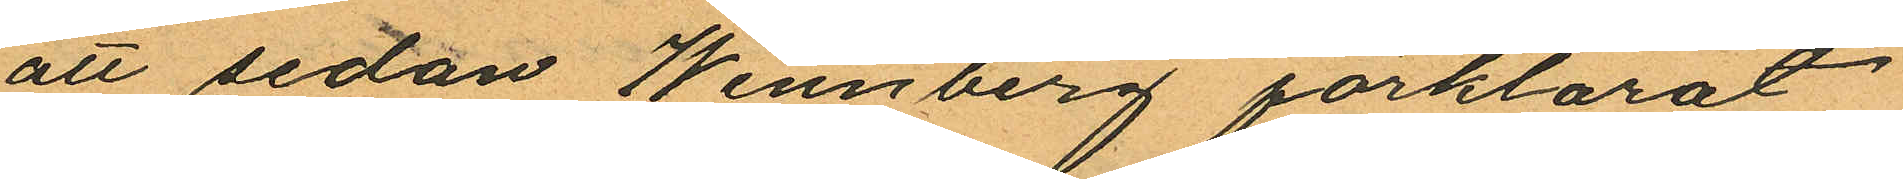att sedan Wennberg förklarat
